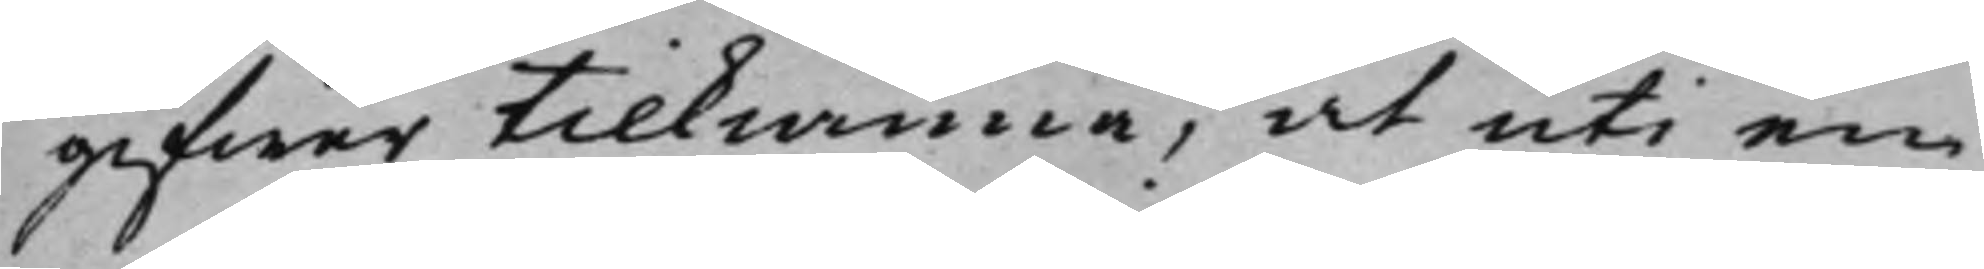gifwer tilkiänna, at uti en
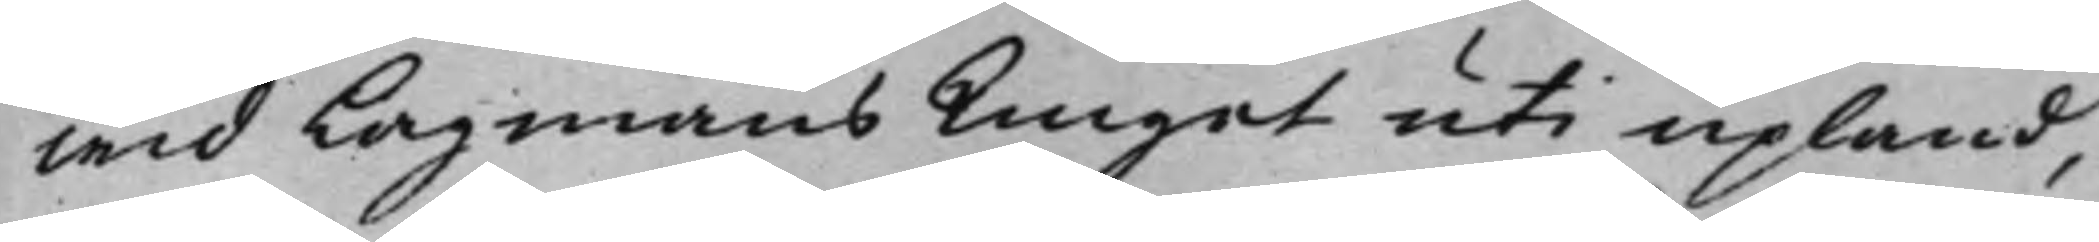wid Lagmans Tinget uti Upland,
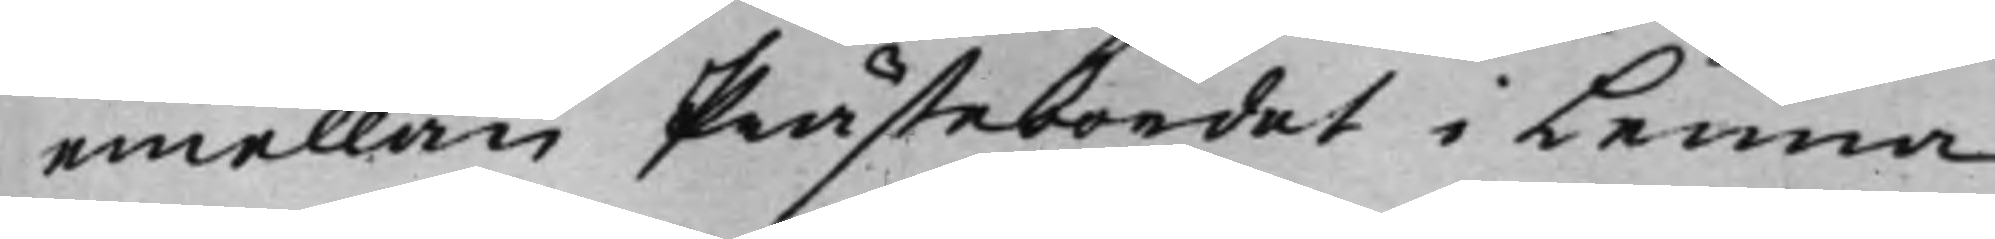emellan Prästebordet i Lenna
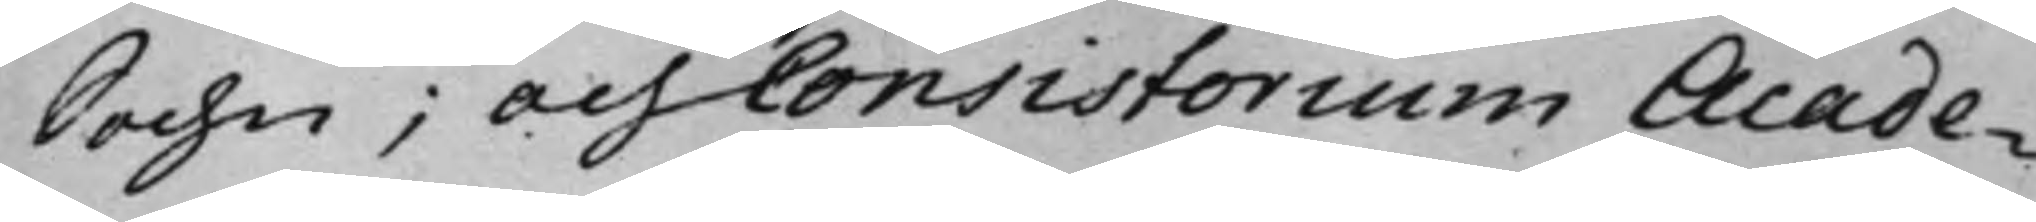Sochn; Och Consistorium Acade¬
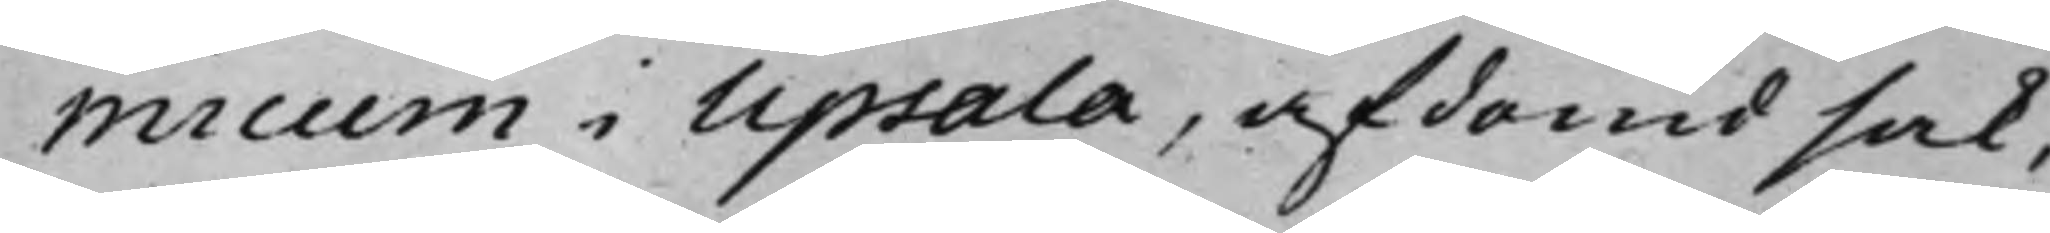micum i Upsala, afdömd sak,
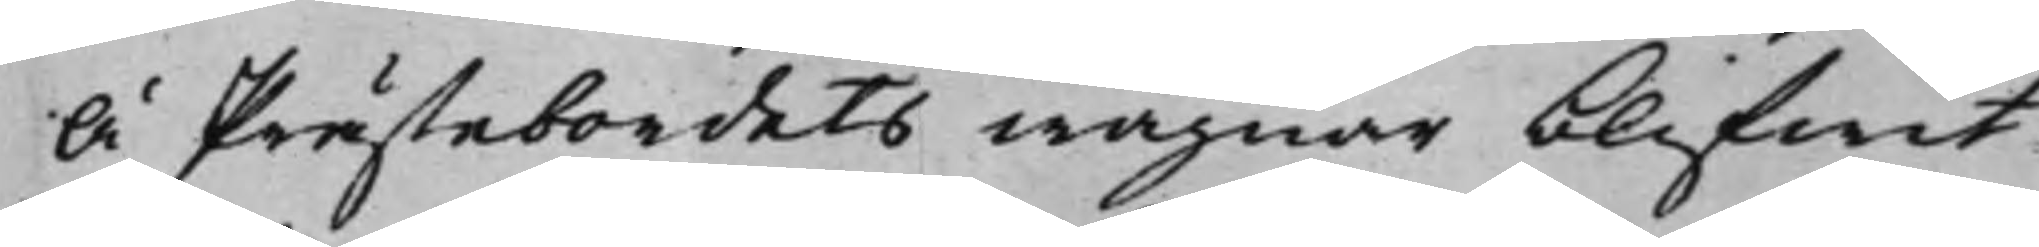Å Prästebordets wägnar blifwit
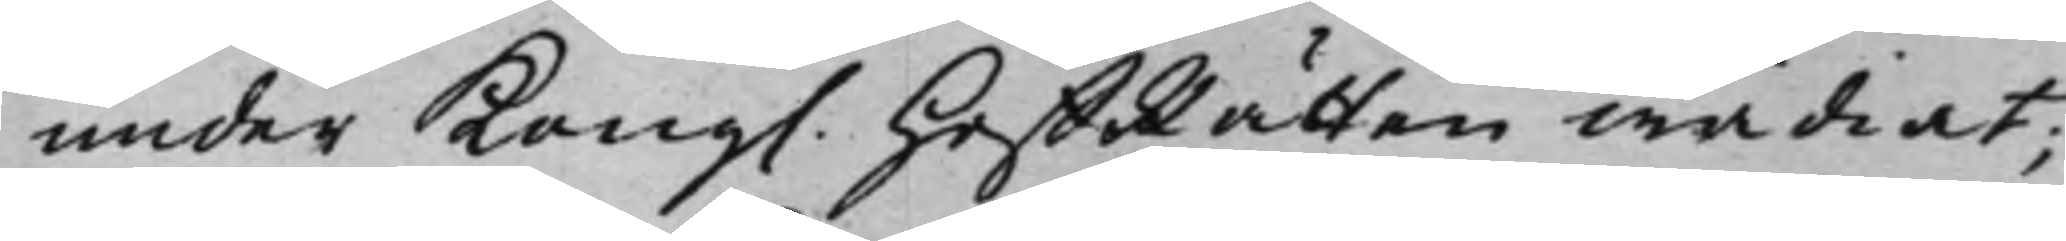under Kong. HoffRätten wädiat;
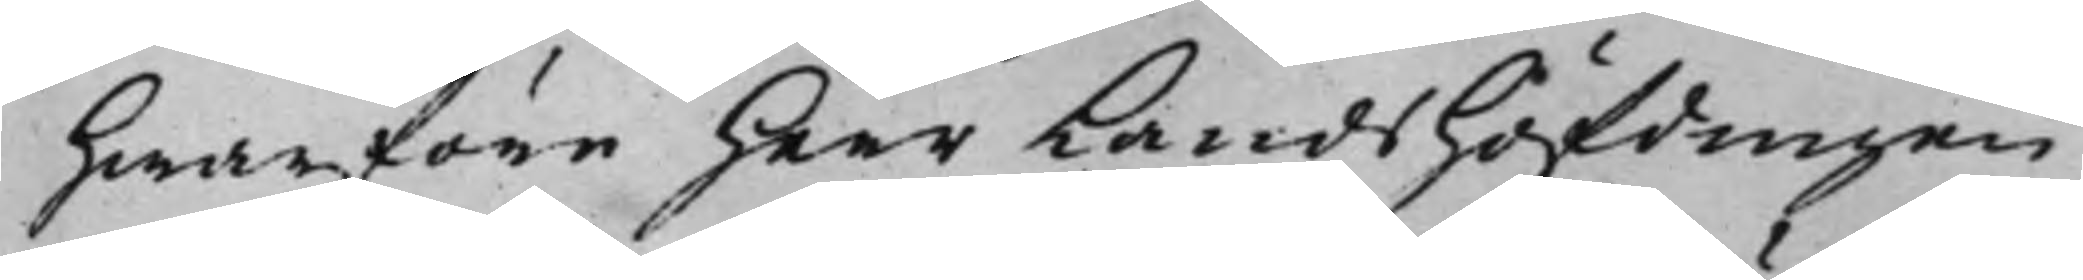hwarföre Herr LandsHöfdingen
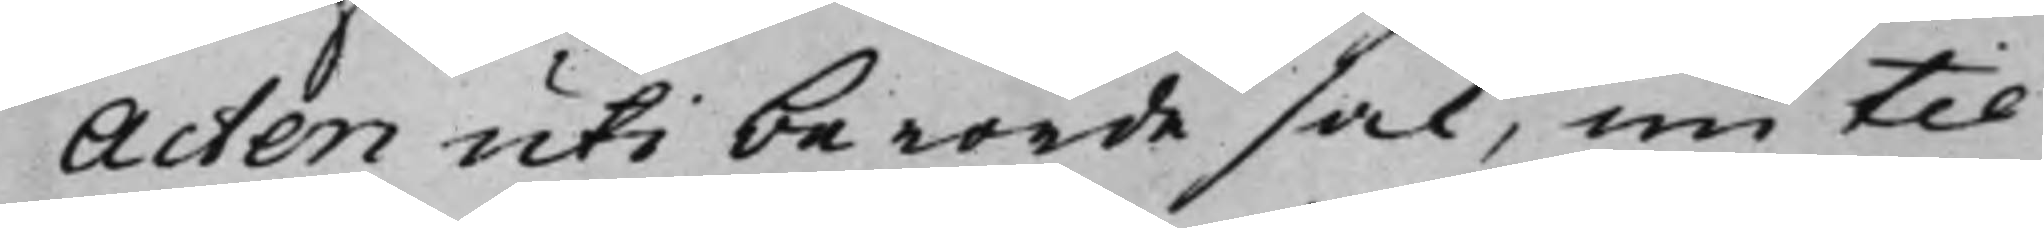Acten uti berörde sak, nu til
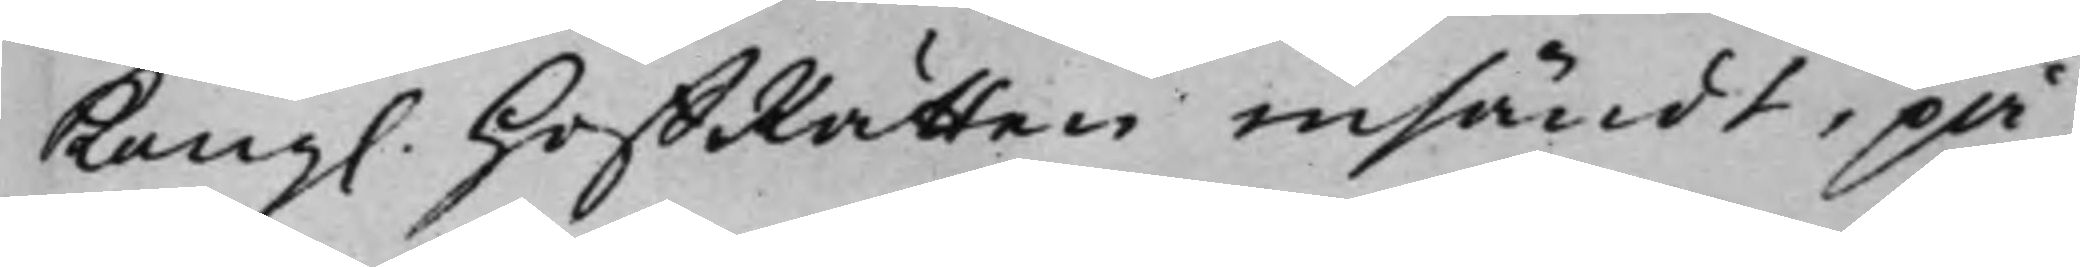Kong. HoffRätten insändt, på
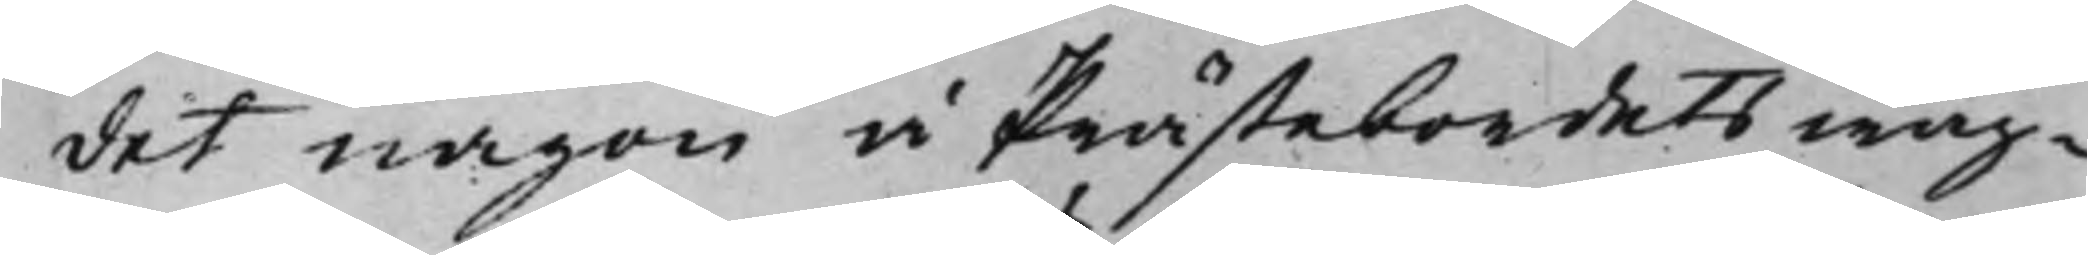det någon å Prästebordets wäg¬
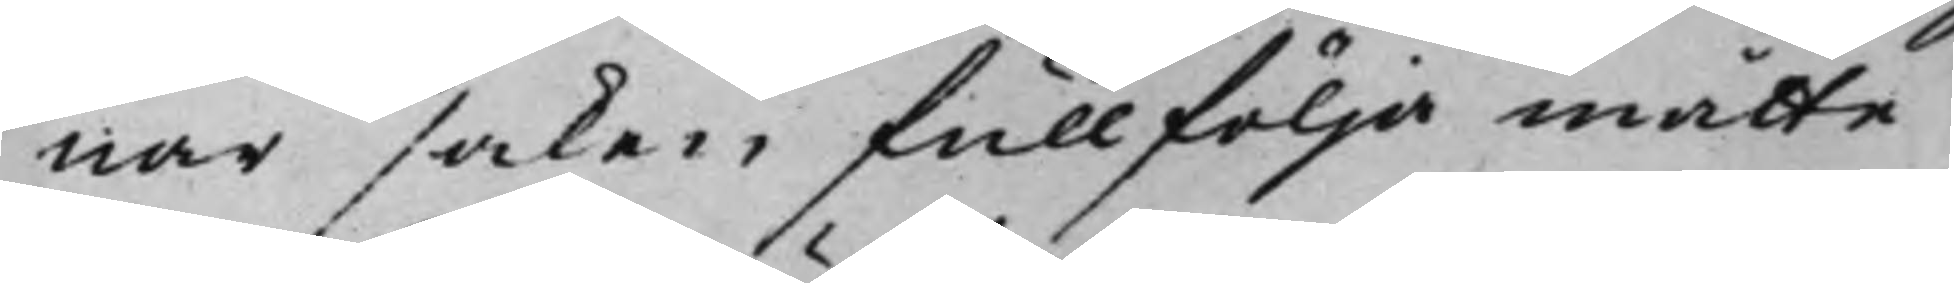nar saken fullfölja måtte.
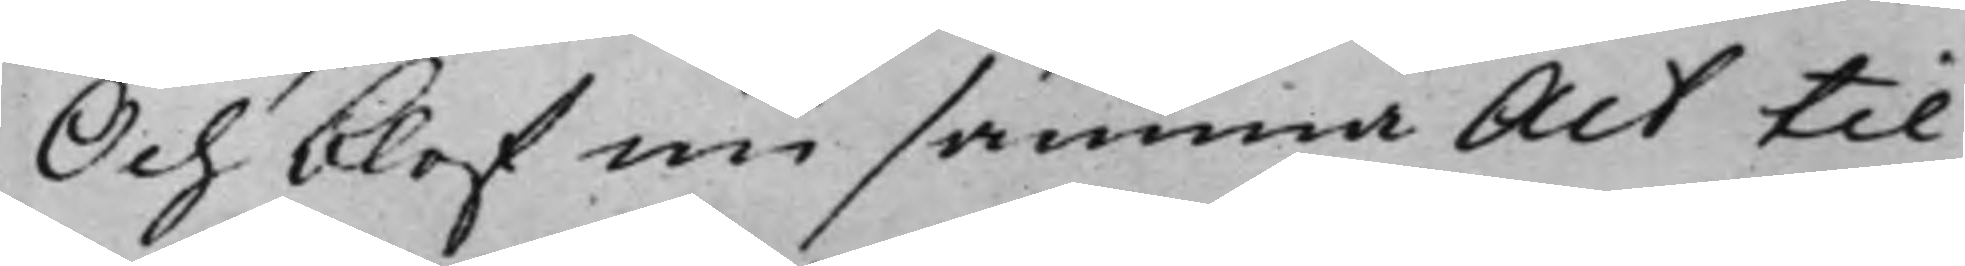Och blef nu samma Act til
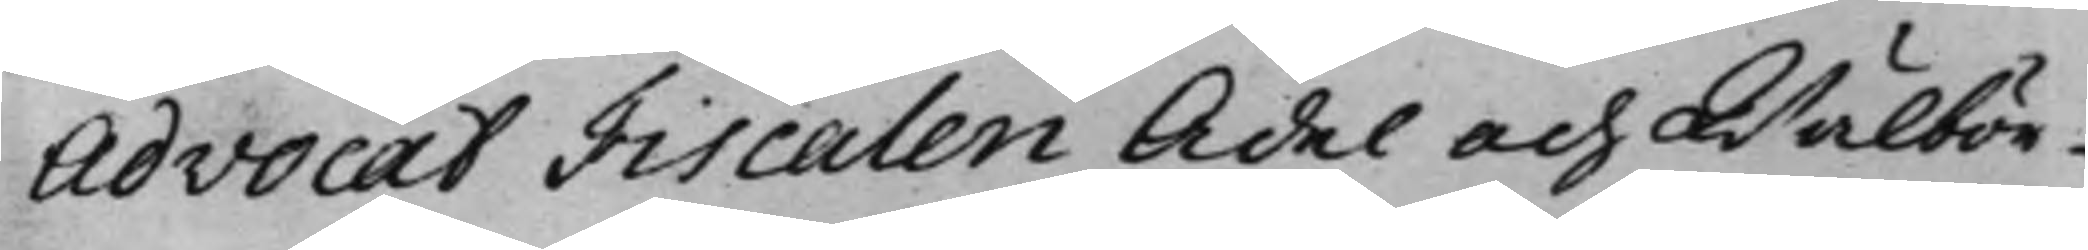Advocat Fiscalen Ädel och Wälbör¬
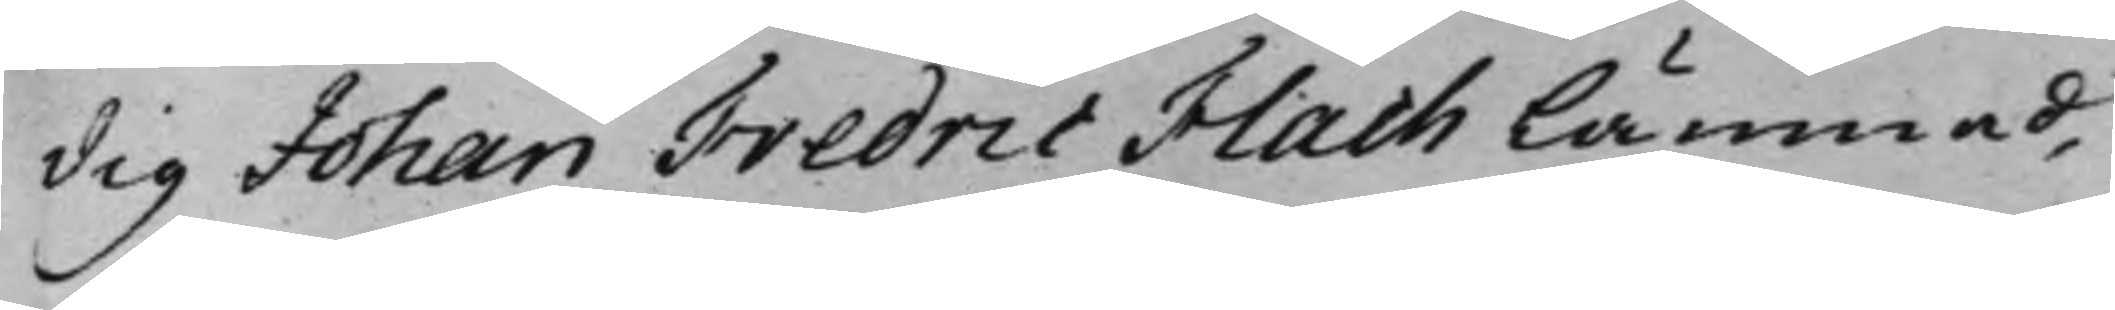dig Johan Fredric Flach lämnad,
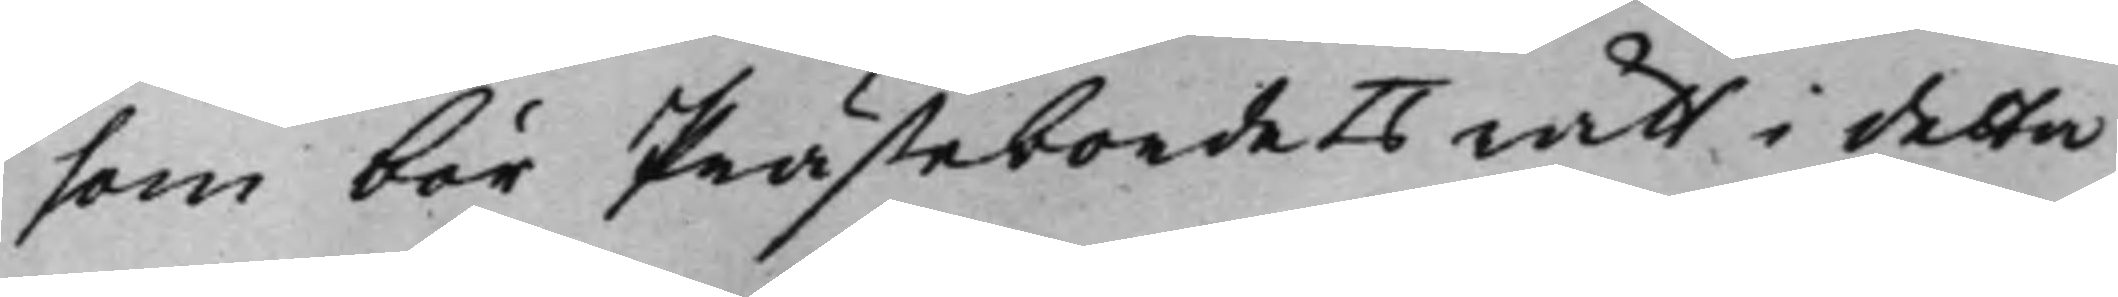som bör Prästebordets rätt i detta
